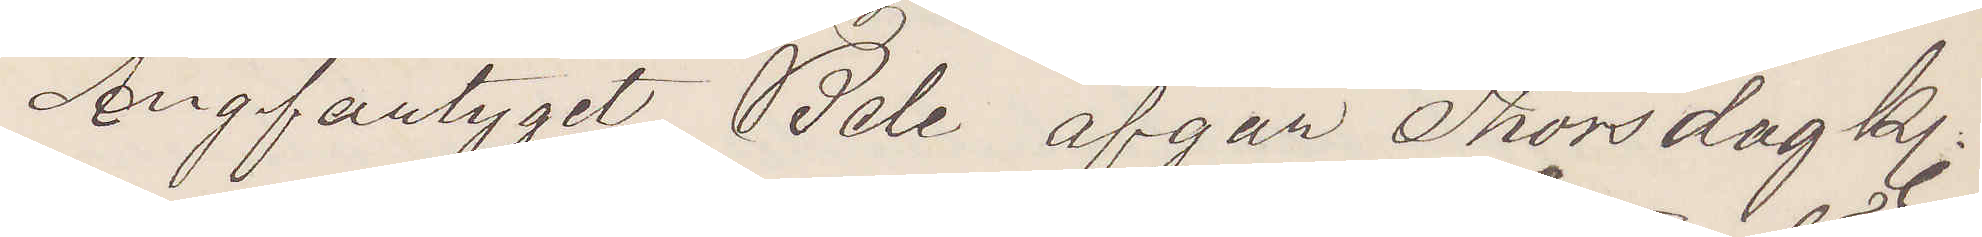Ångfartyget Bele afgår Thorsdag kl.
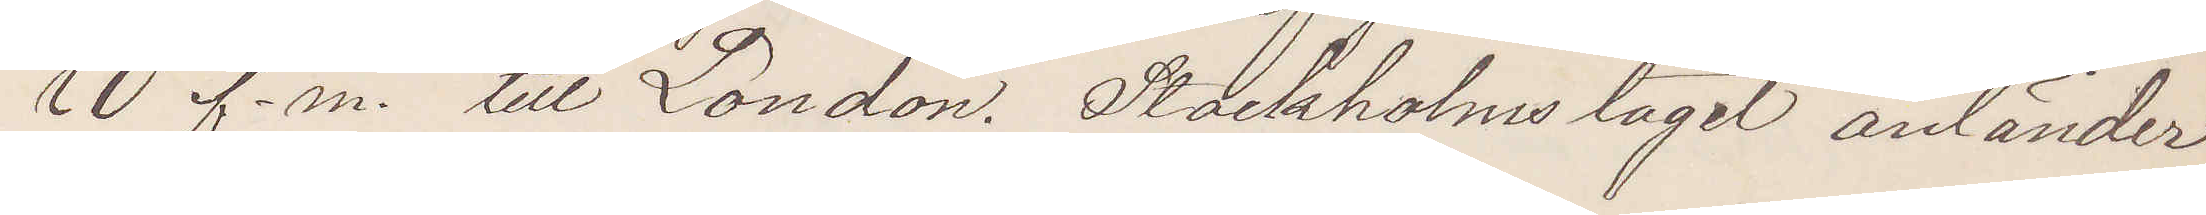10 f.m. till London. Stockholmståget anländer
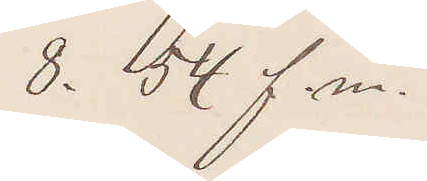8.54 f. m.
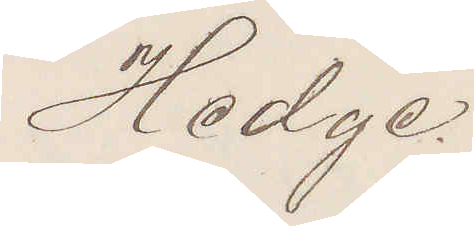Hedge.
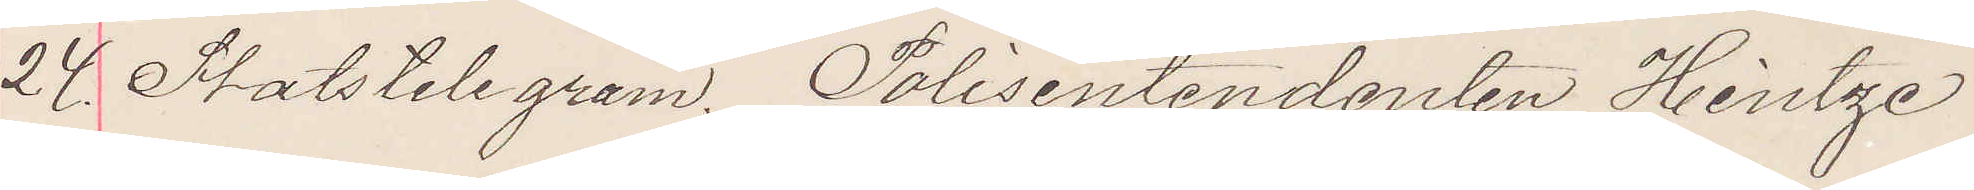28 Statstelegram. Polisentendanten Heintze
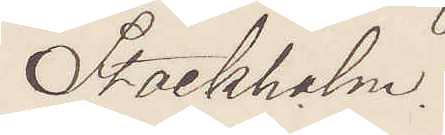Stockholm.
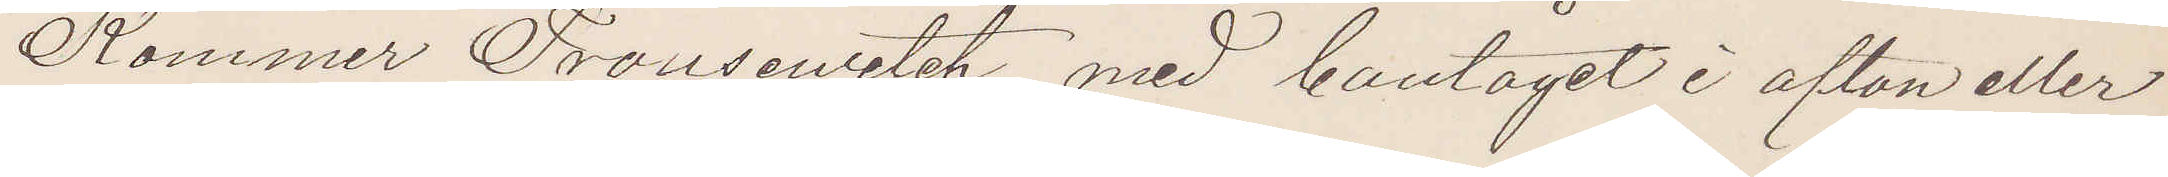Kommer Trousewitch med bantåget i afton eller
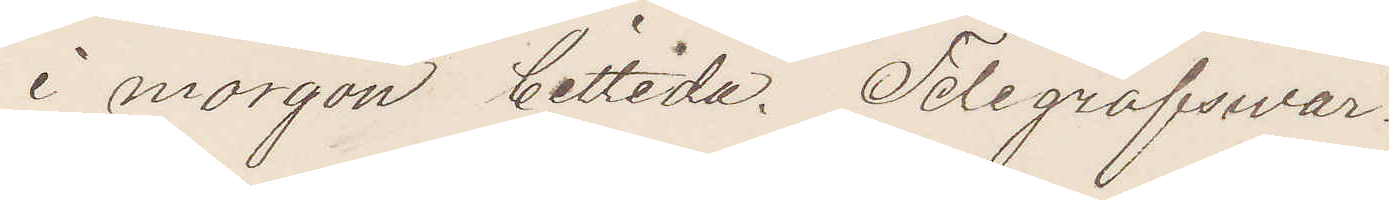i morgon bittida. Telegrafswar.
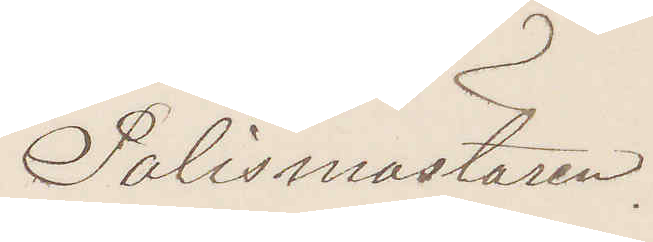Polismästaren.
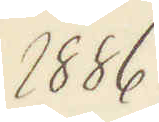1886
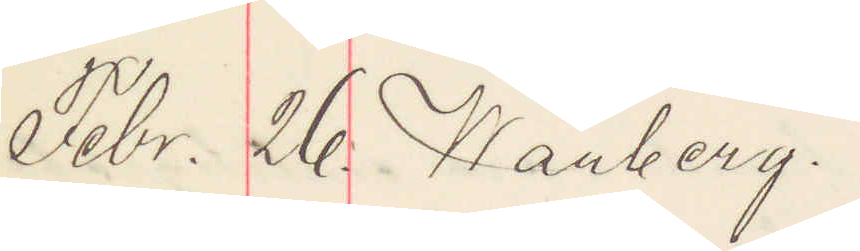Febr. 26. Warberg.
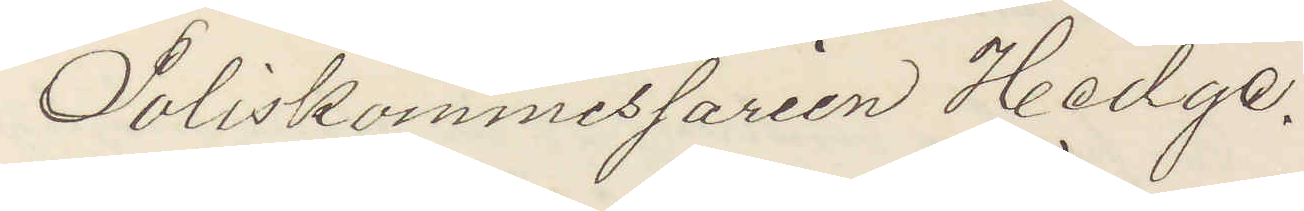Poliskommissarien Hedge.
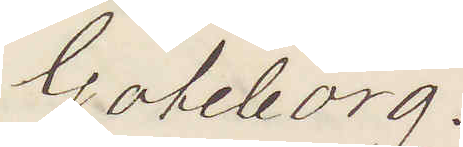Göteborg.
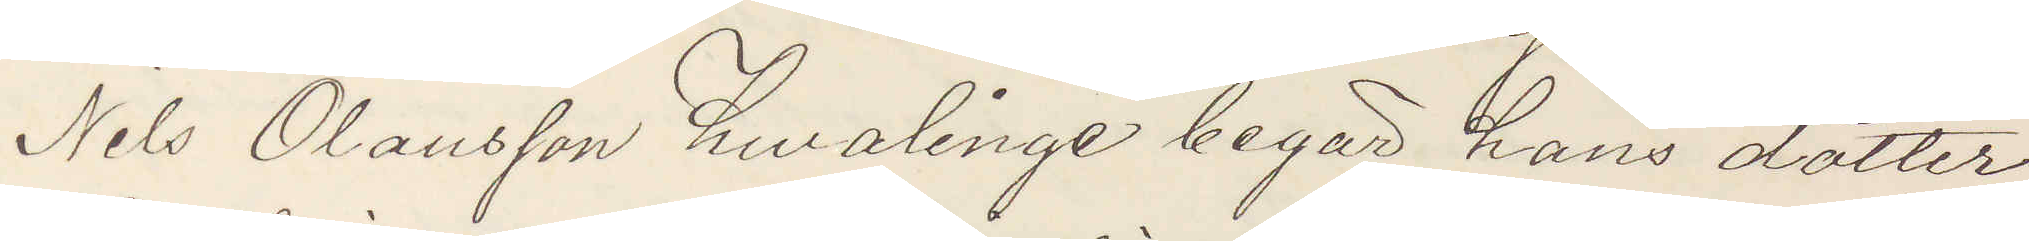Nils Olausson Hwalinge begär hans dotter
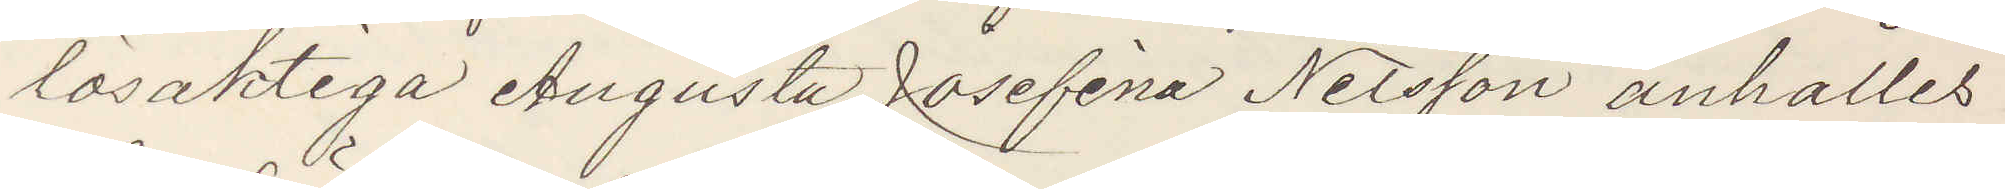lösaktiga Augusta Josefina Nilsson anhålles
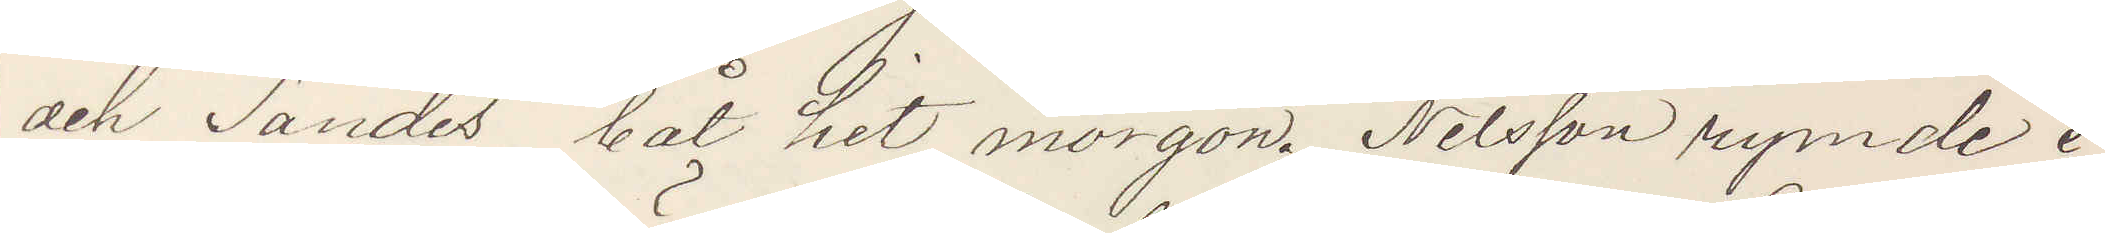och Sändes båt hit morgon. Nilsson rymde i
